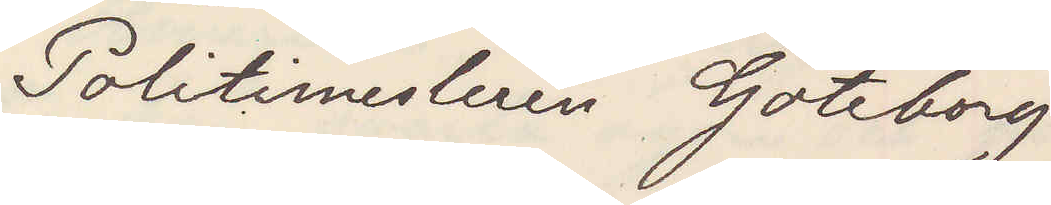Politimesteren Göteborg
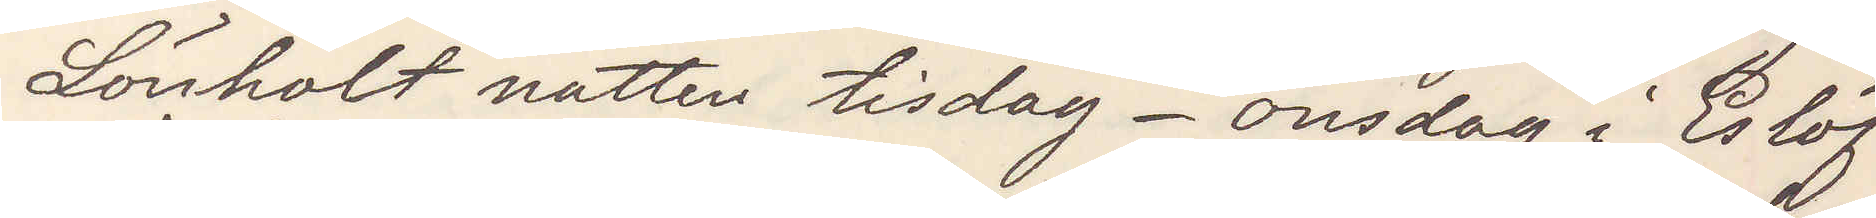Lönholt natten tisdag-onsdag i Eslöf
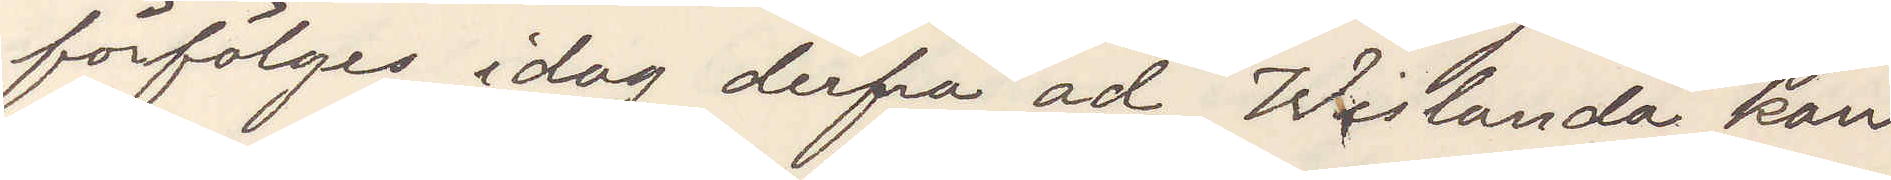förföljes idag derfra ad Wislanda kan
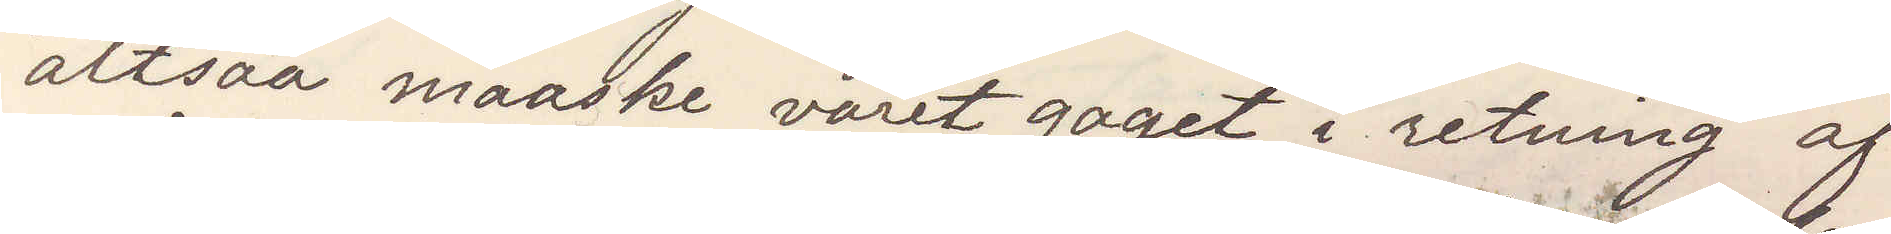altsaa maaske varet gaaet i retning af
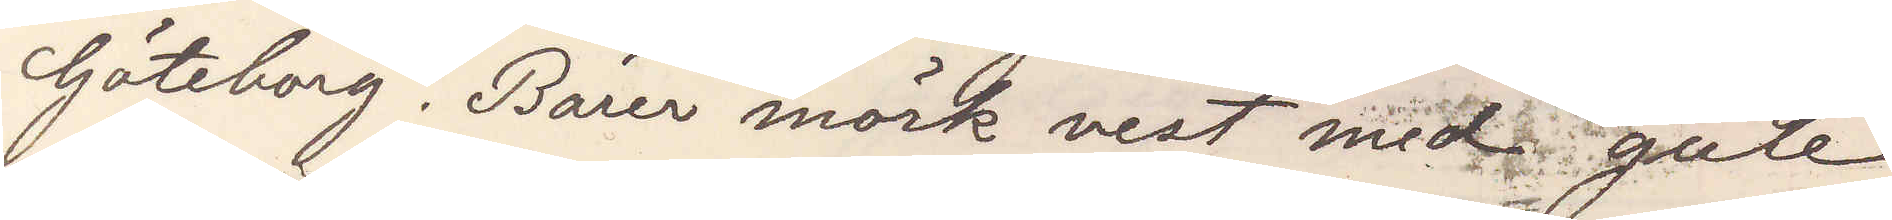Göteborg. Bärer mörk vest med gule
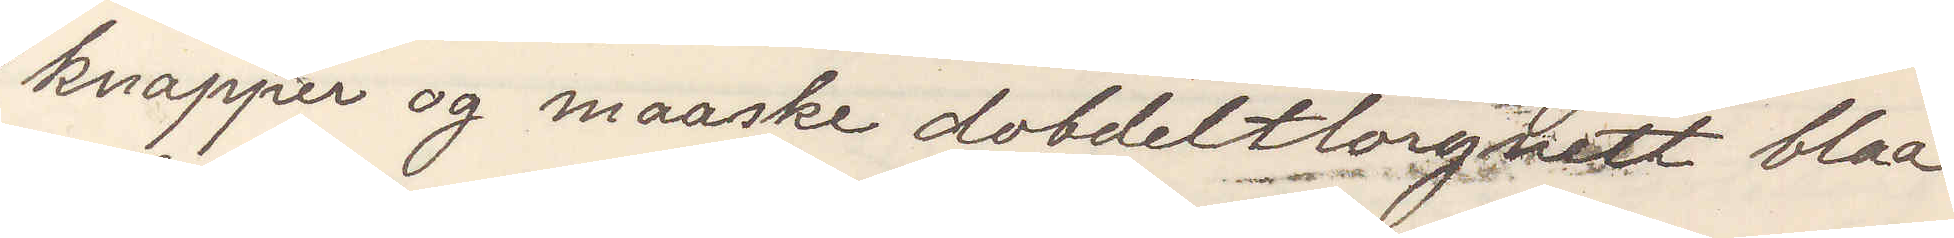knapper og maaske dobeltlorgnett blaa
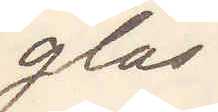glas.
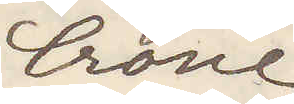Crone
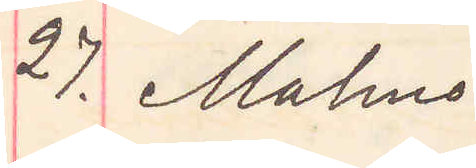27. Malmö.
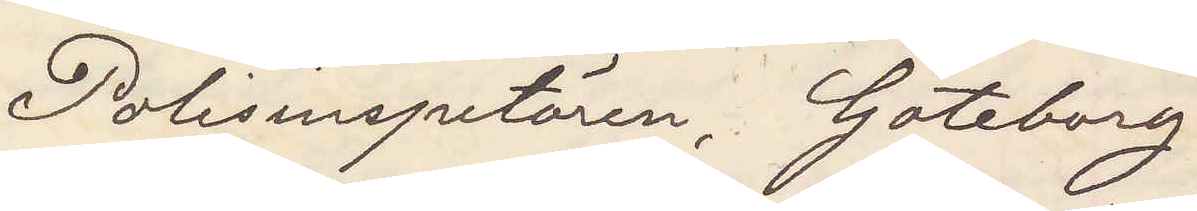Polisinspektören, Göteborg
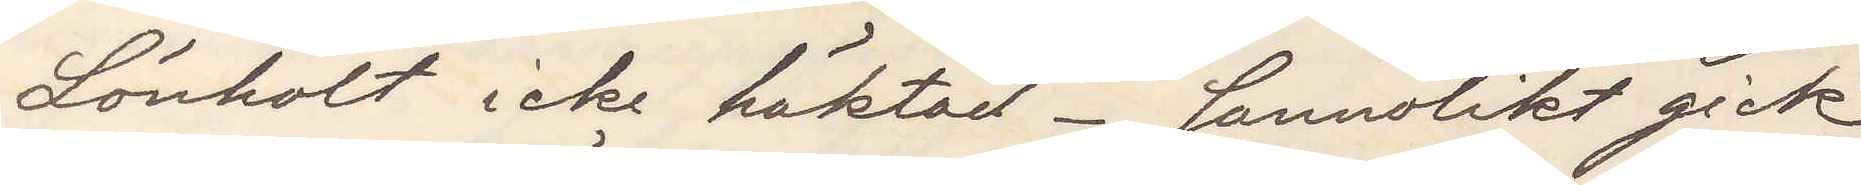Lönholt icke häktad. Sannolikt gick
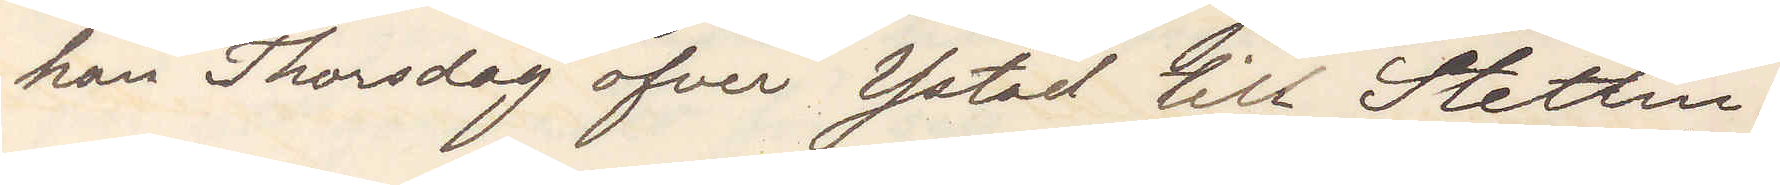han Thorsdag öfver Ystad till Stettin.
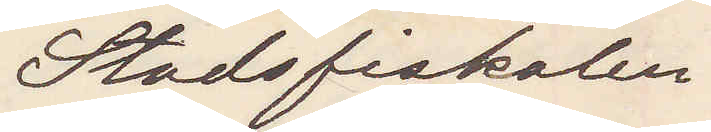Stadsfiskalen.
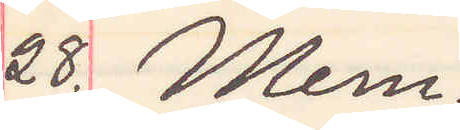28. Mem.
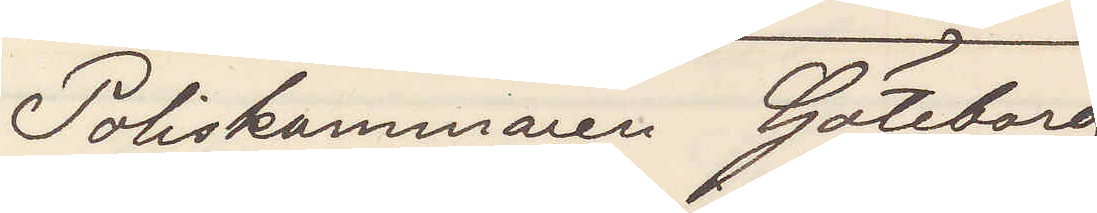Poliskammaren Göteborg
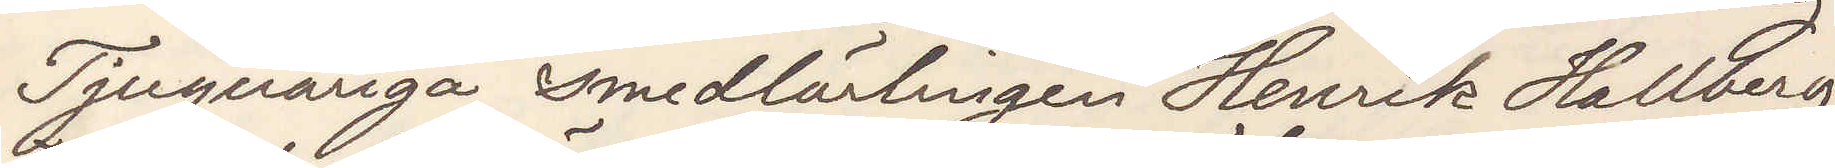Tjugoåriga smedslärlingen Henrik Hallberg,
